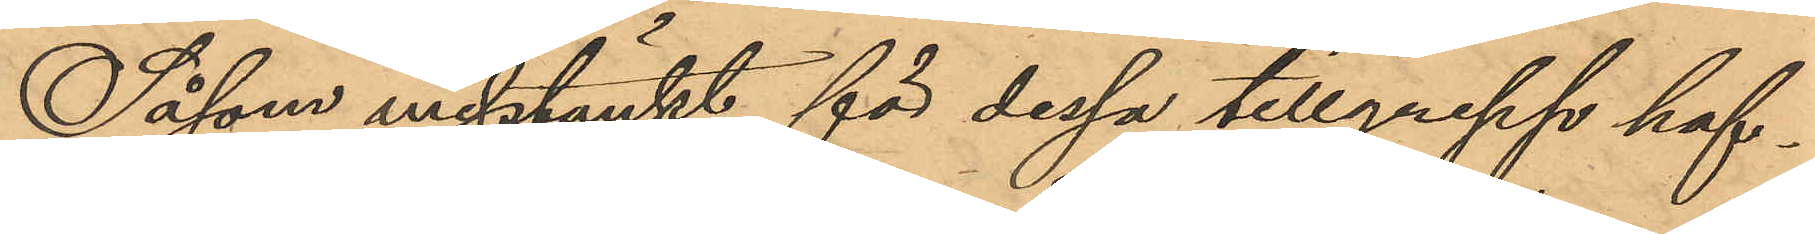Såsom misstänkt för dessa tillgrepp haf¬
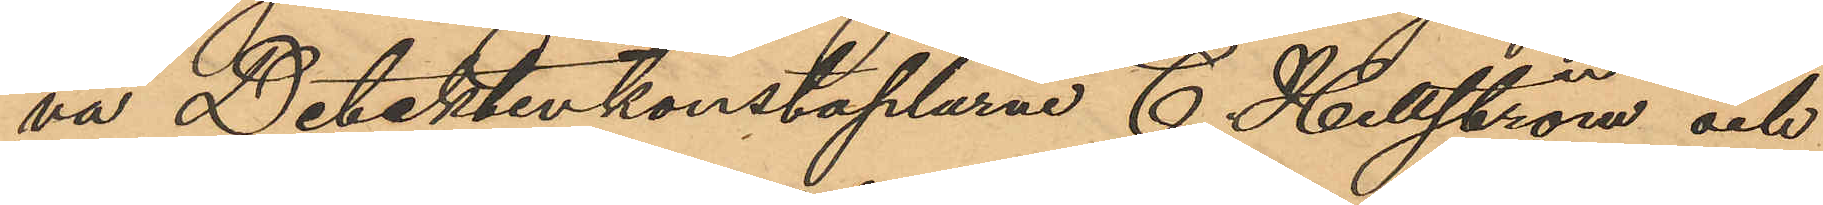va Detektivkonstaplarne C. Hellström och
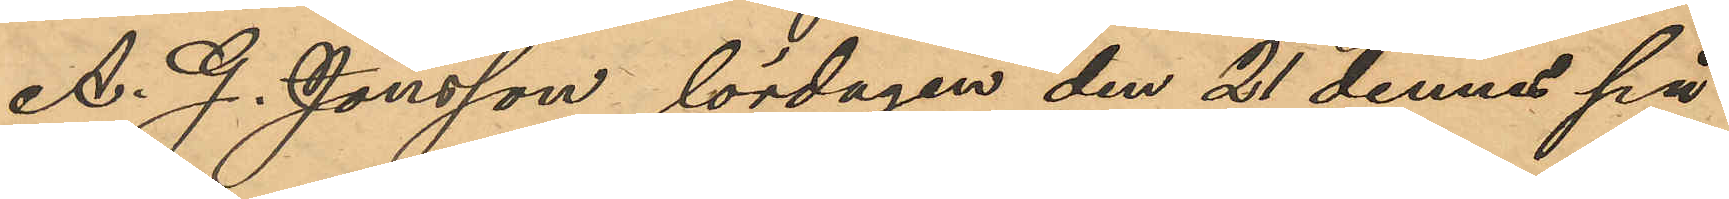A. G. Jönsson lördagen den 21 dennes på
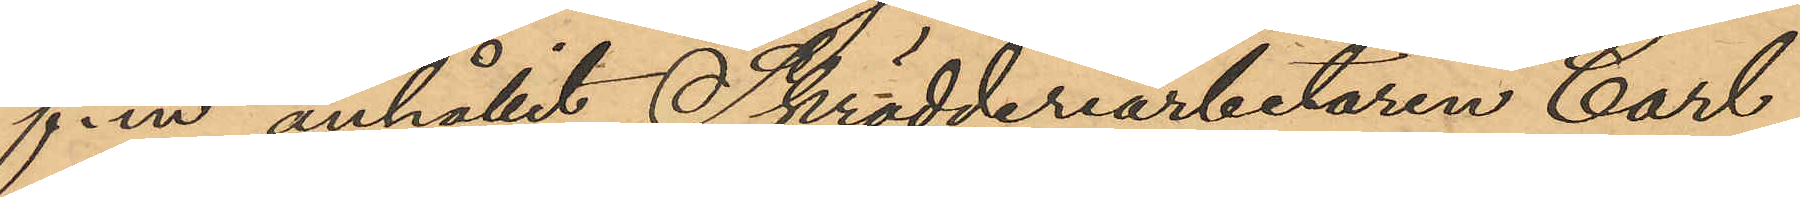f. m anhållit Skrädderiarbetaren Carl
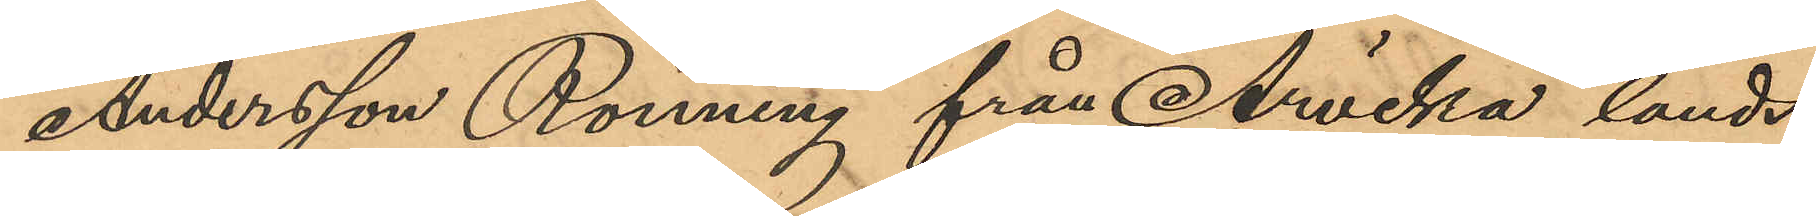Andersson Rönning från Arvika lands¬
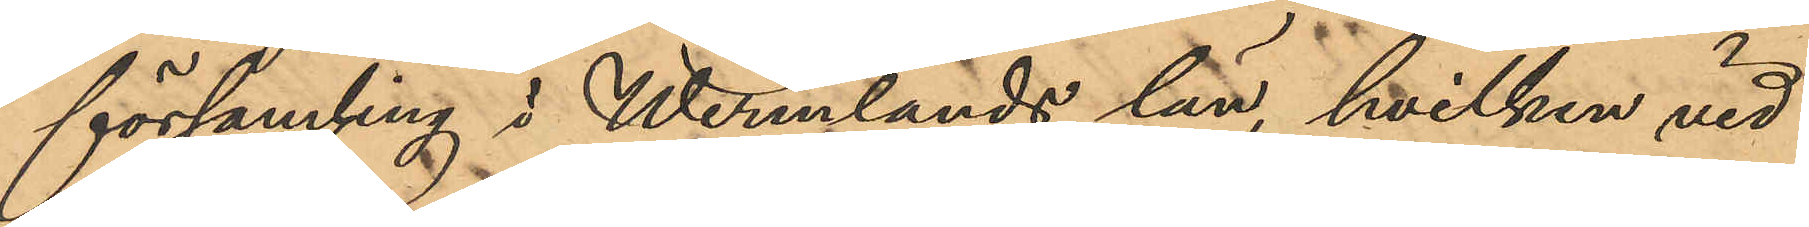församling i Wermlands län, hvilken vid
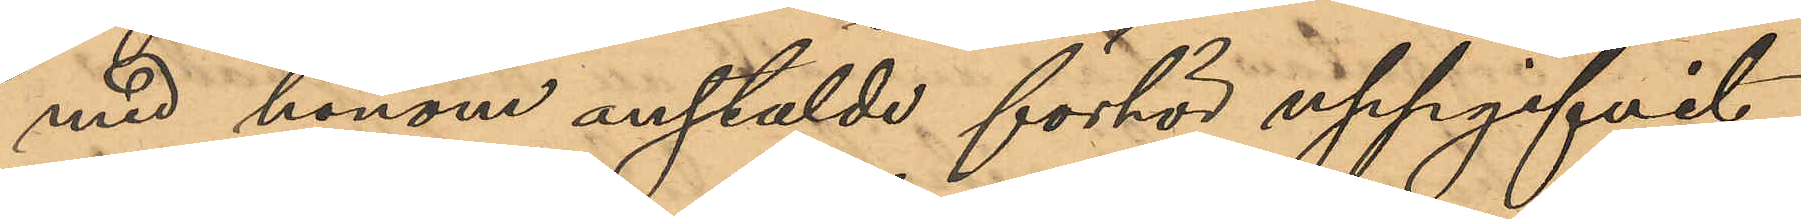med honom anstälde förhör uppgifvit
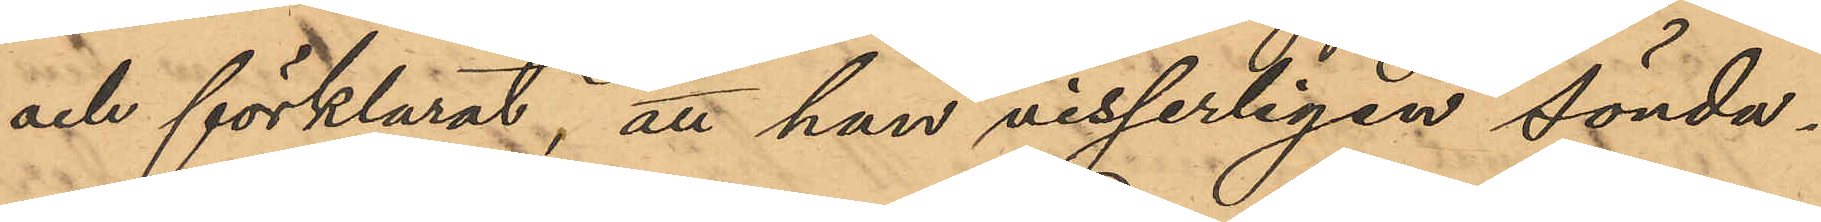och förklarat, att han visserligen sönda¬
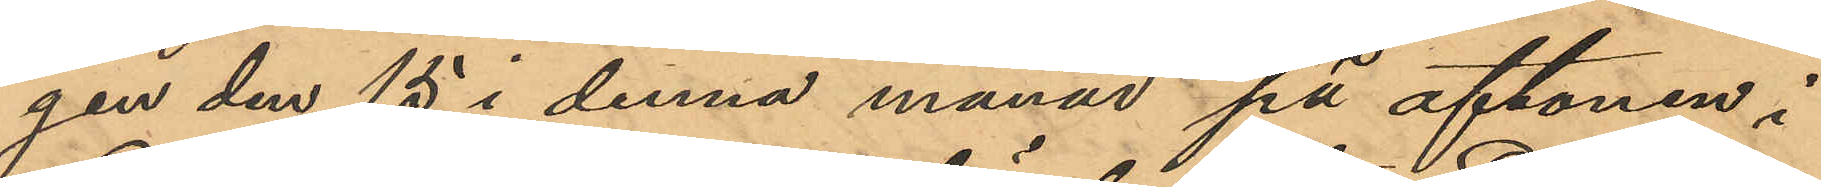gen den 15 i denna månad på aftonen i
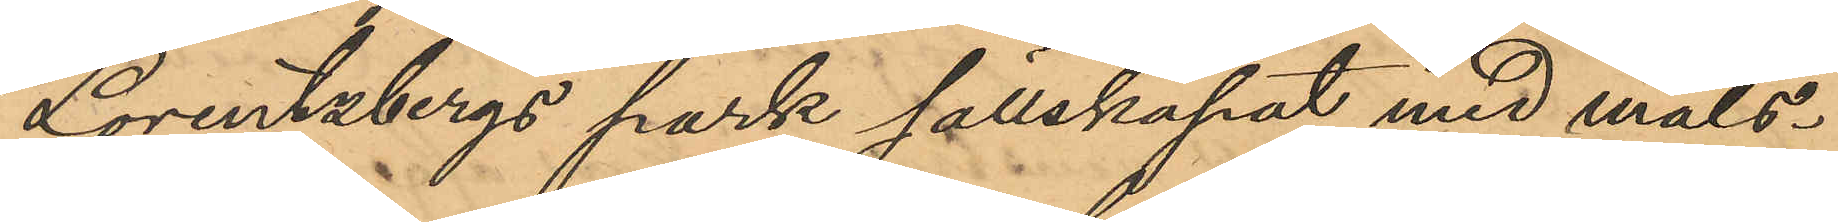Lorentzbergs park sällskapat med måls¬
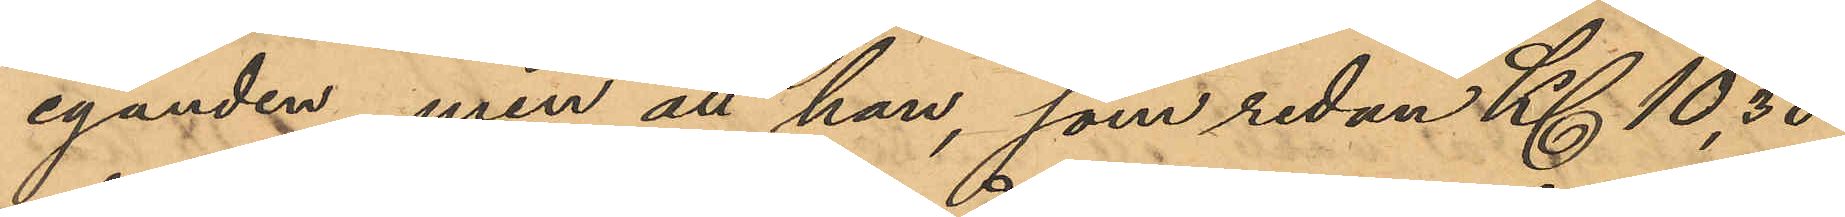eganden, men att han, som redan Kl 10.30
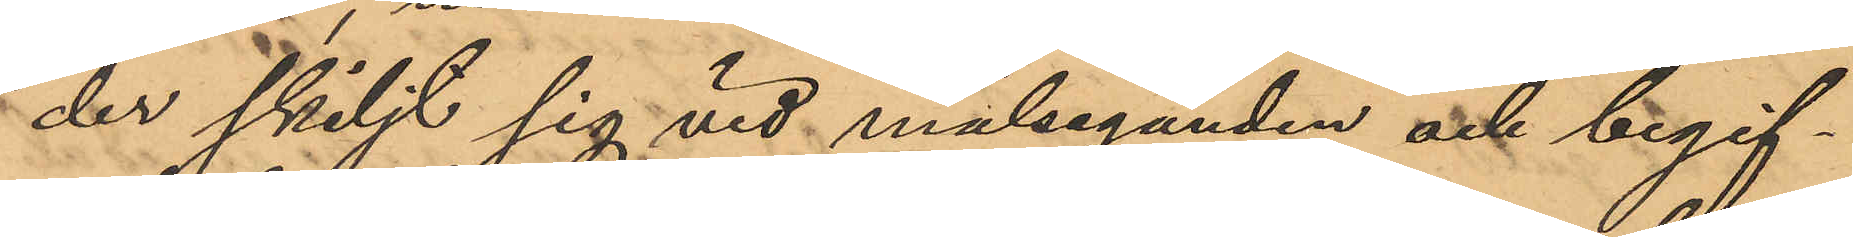der skiljt sig vid målseganden och begif¬
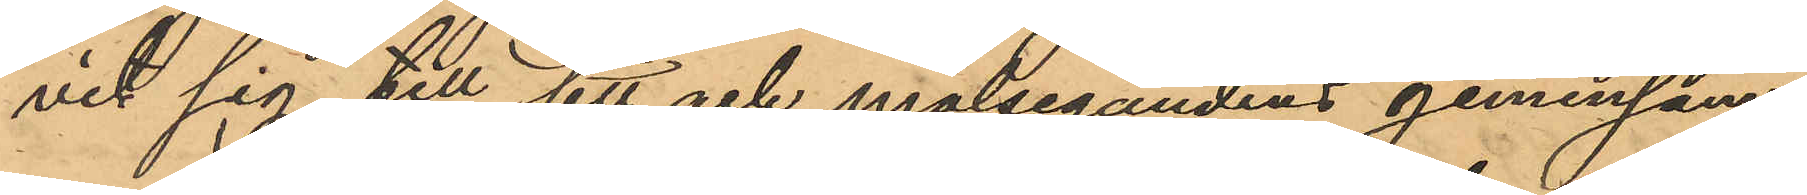vit sig till sitt och målsegandens gemensam¬
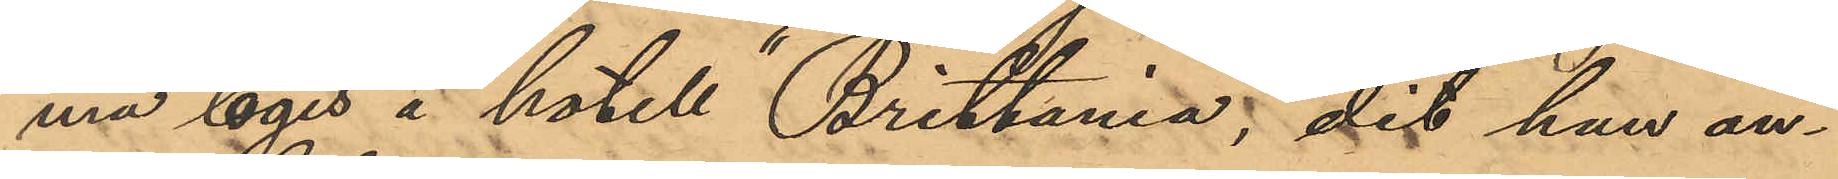ma logis å hotell "Brittania", dit han an¬
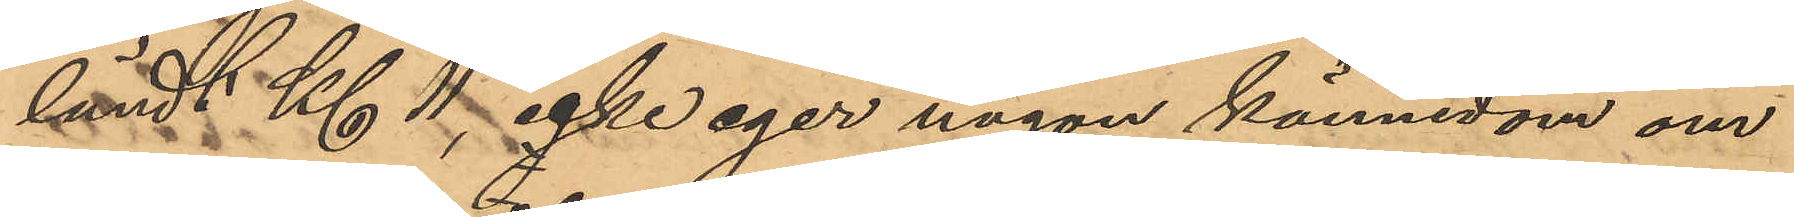ländt Kl 11, icke eger någon kännedom om
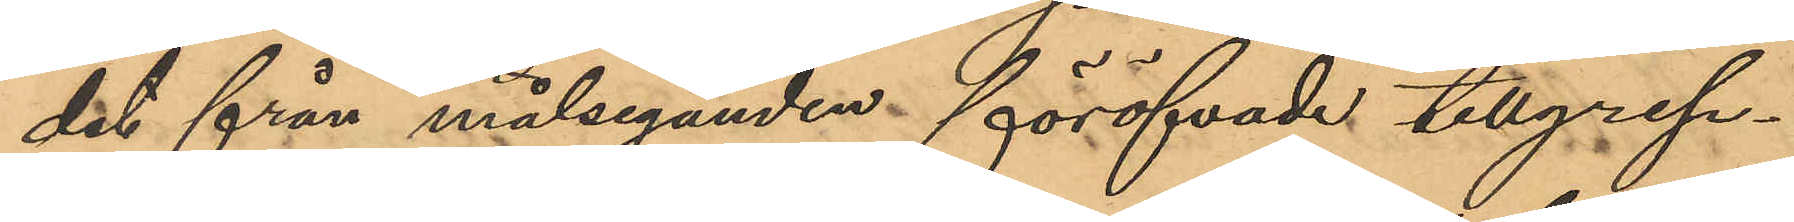det från målseganden föröfvade tillgrep¬
